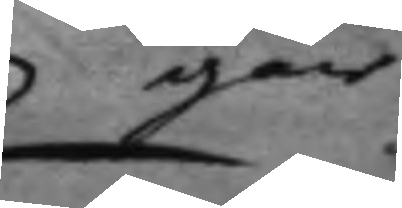går
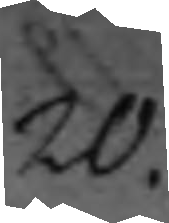20.
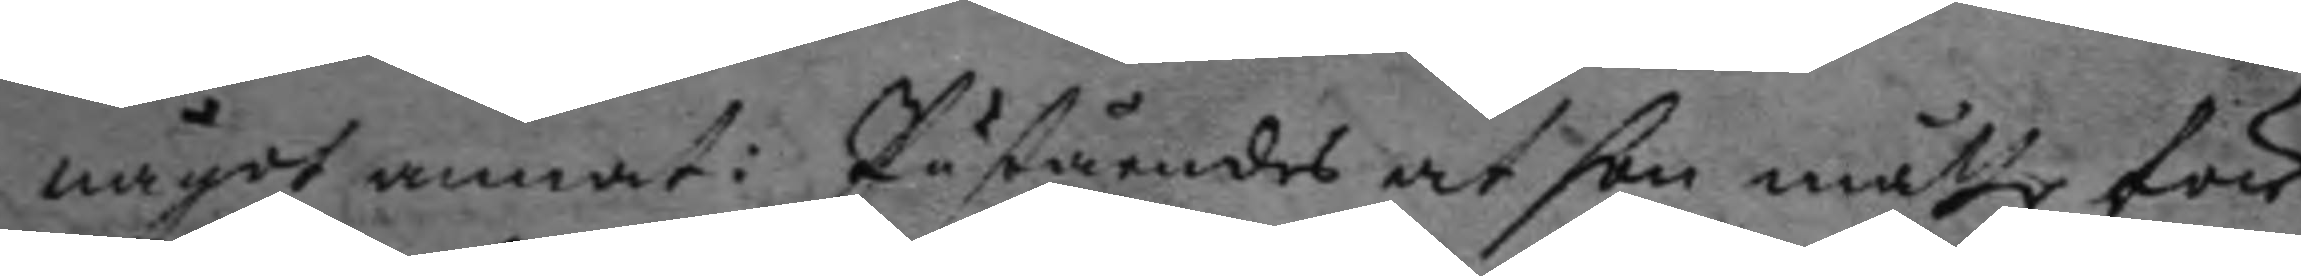något annat i Påståendes at hon måtte för
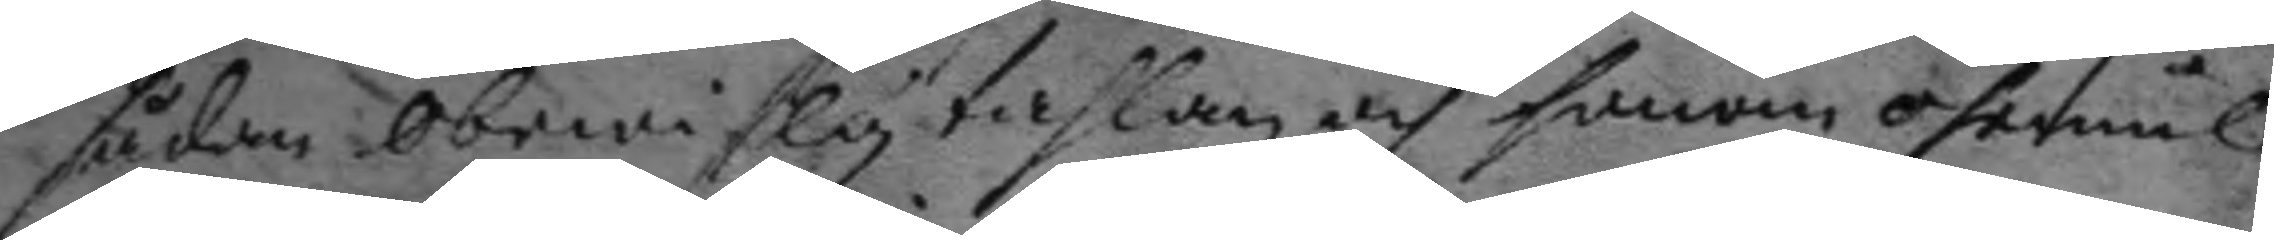sådan obewislig tahlan och honom ohemul
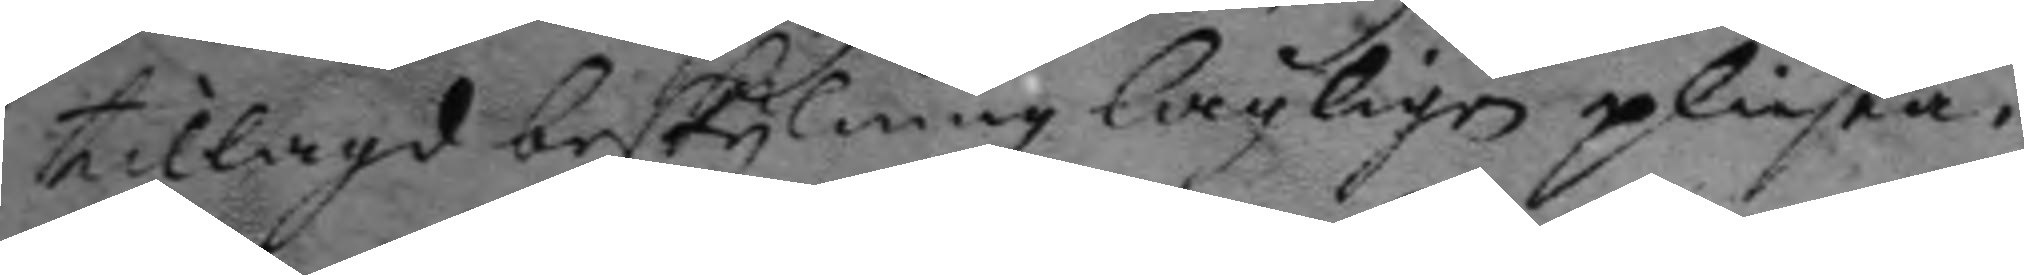tillagd beskylning lagligen plichta.
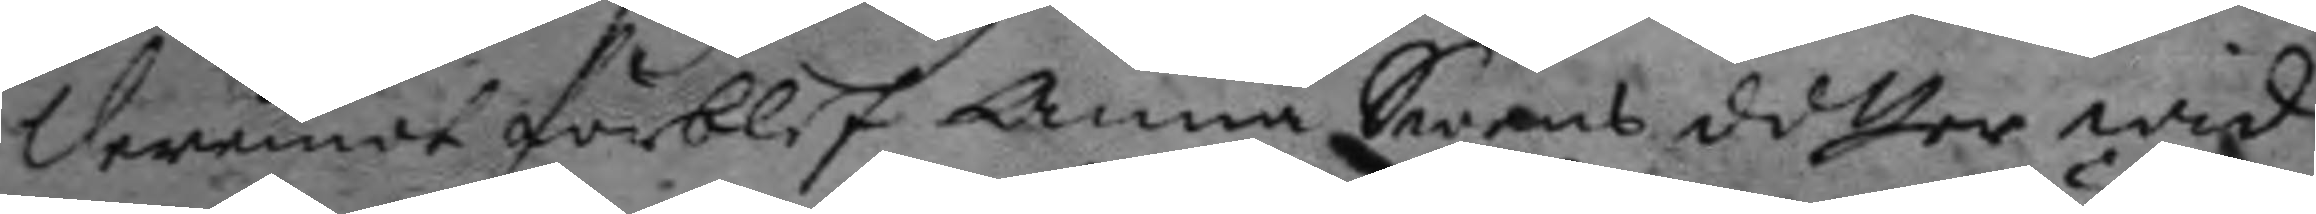Deremot förblef Anna Swens dotter wid
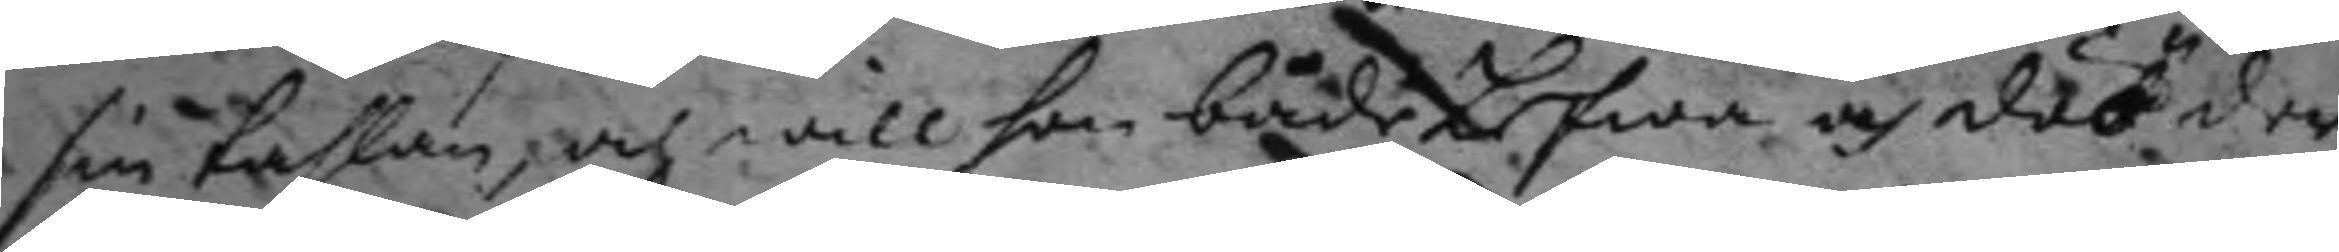sin tahlan, och will hon både Lefwa och död der
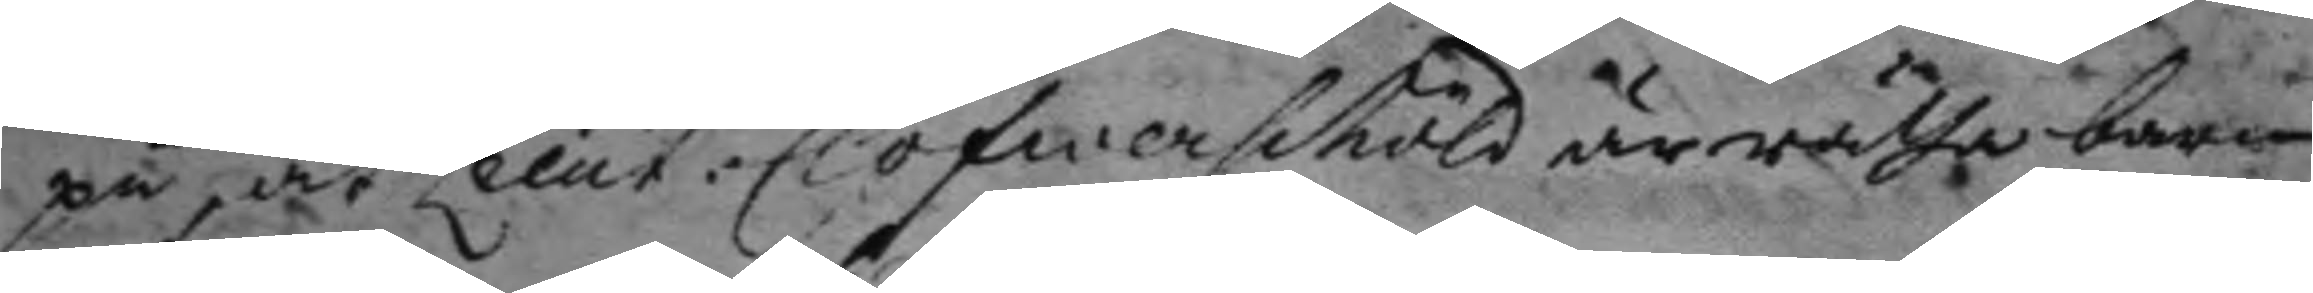på at Lieut: Clöfwerschöld är rätha barn
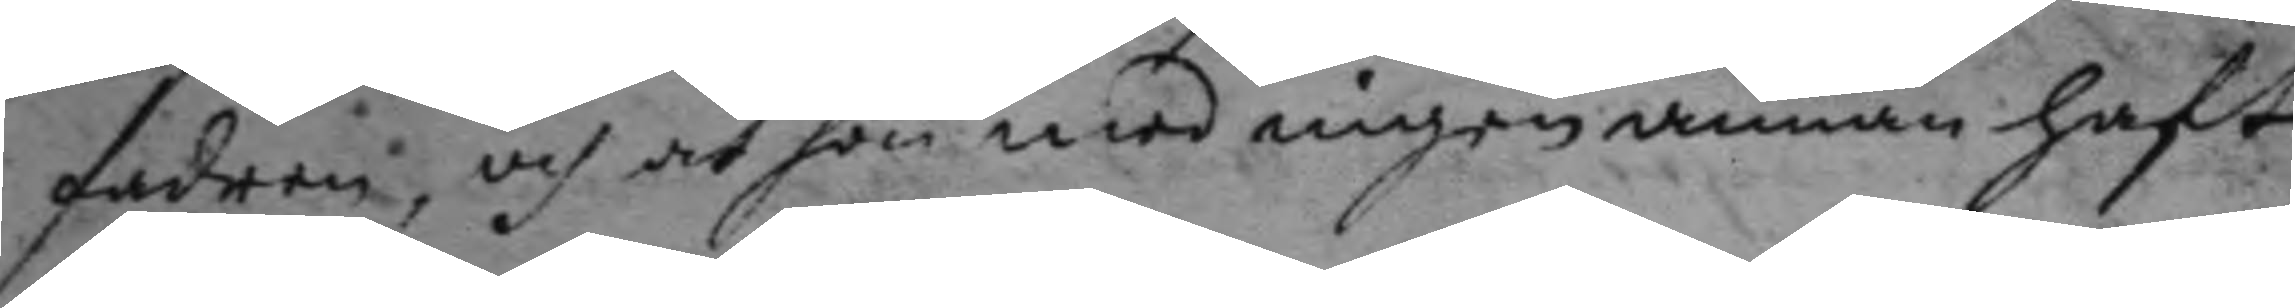fadern, och at hon med ingen annan haft
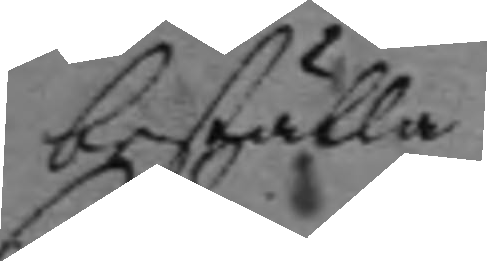beställa.
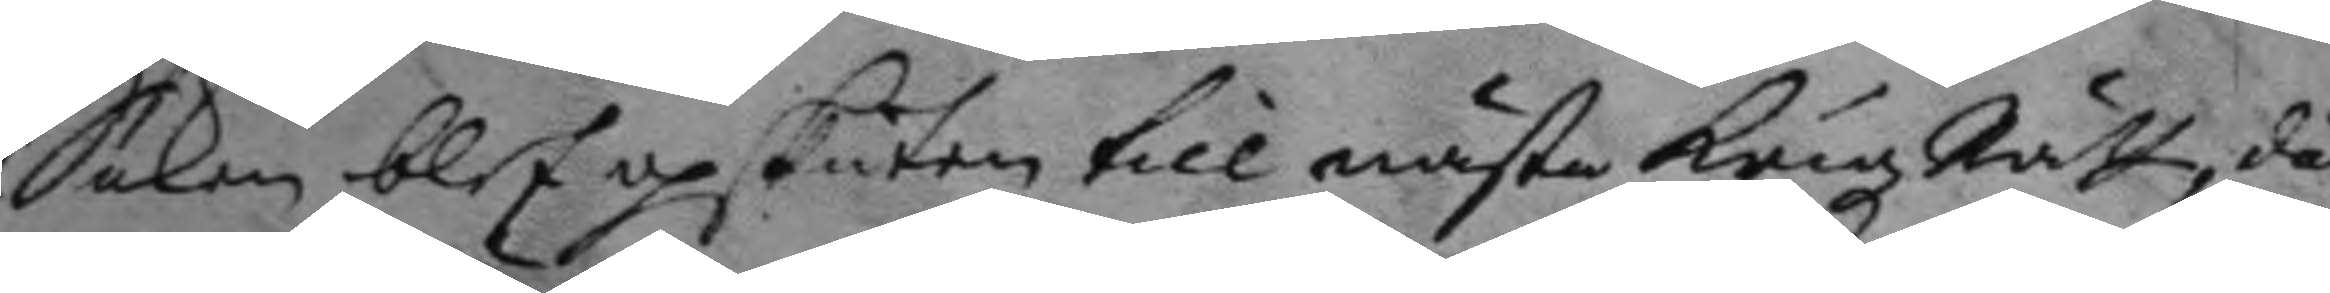Saken blef upskuten till nästa Krigz Rätt, då
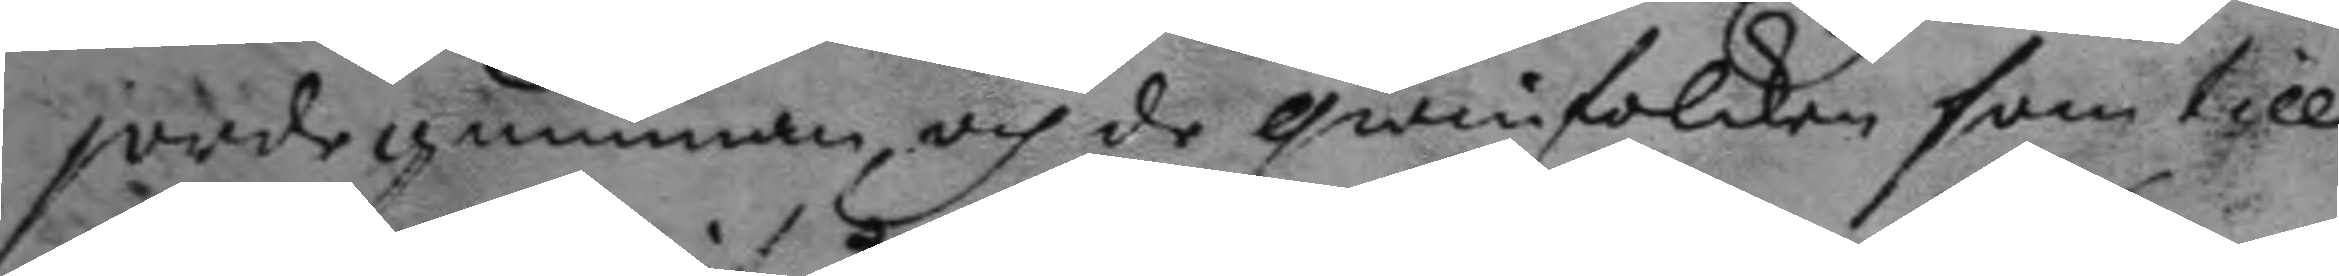jordegumman, och de qwinfolken som till
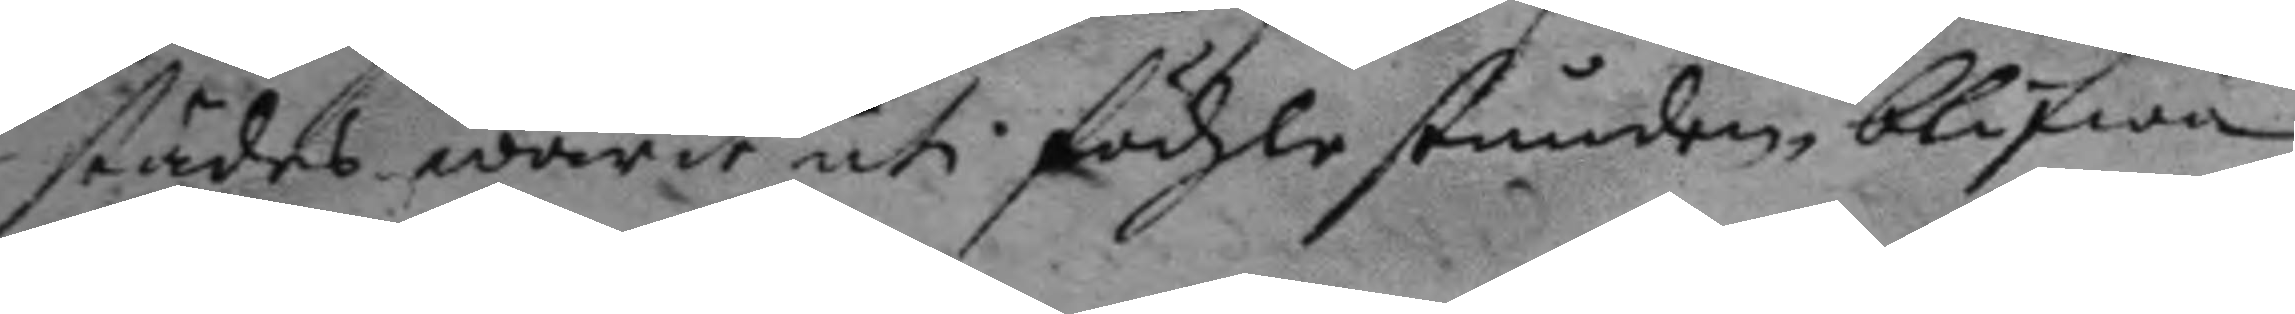städes warit uti födzlo stunden blifwa
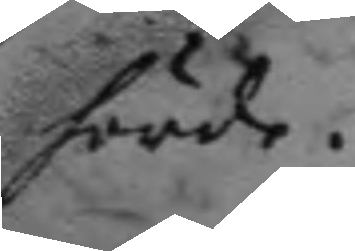hörde.
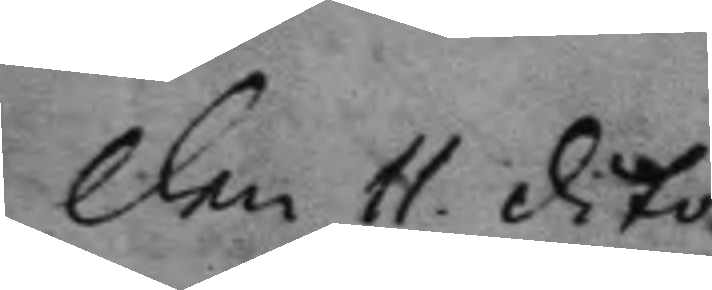den 11. dito.
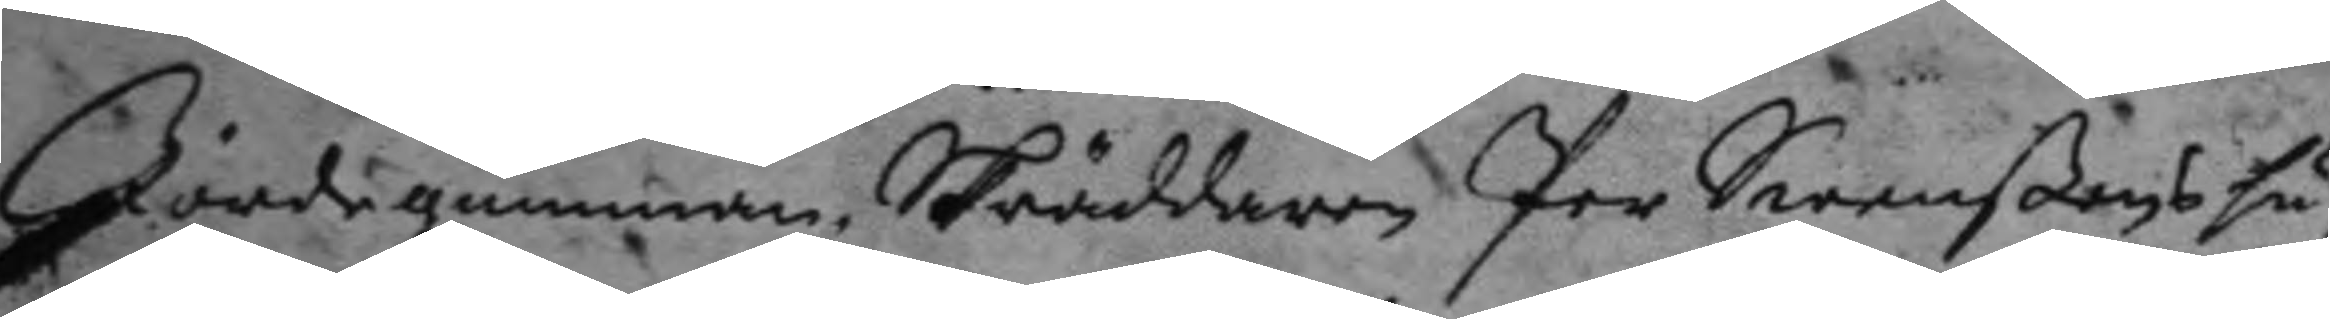Jordegumman Skräddaren Per Swenßons hu¬
